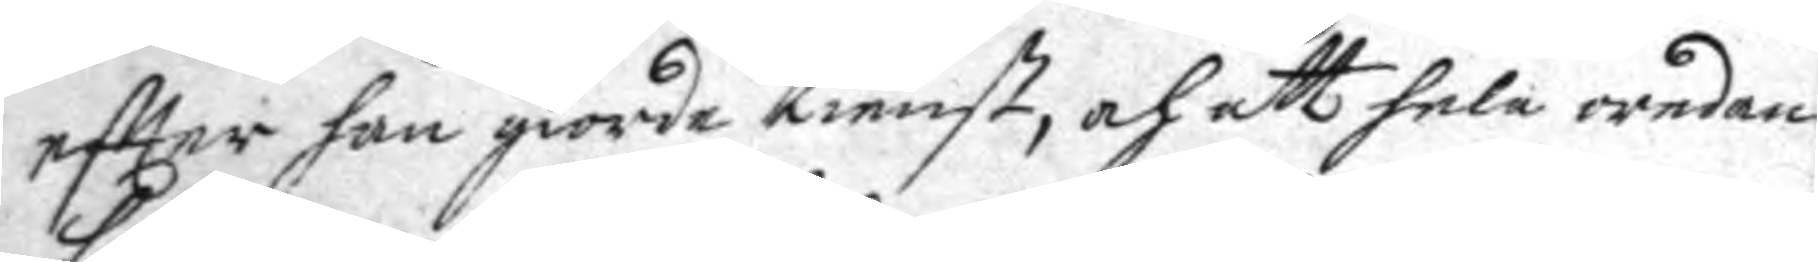eftter han giorde tienst, och att hela oredan
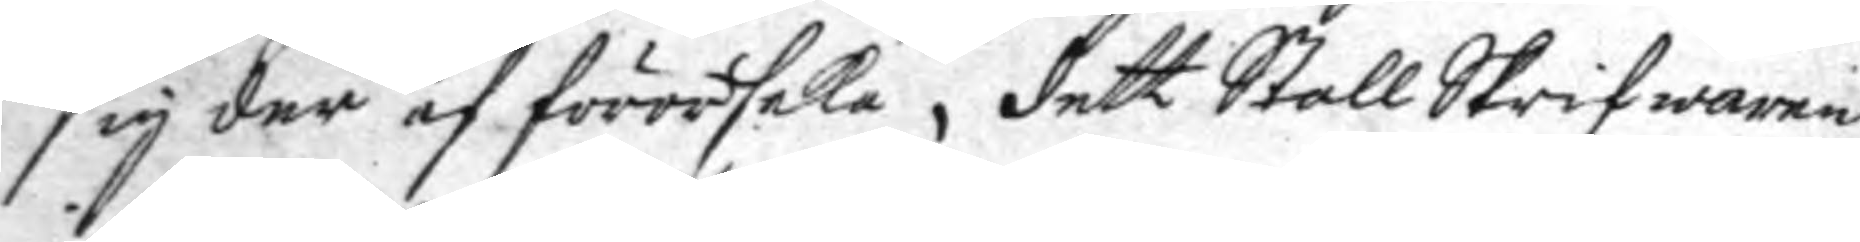sig der af förorsaka, dett Stall Skrifwaren
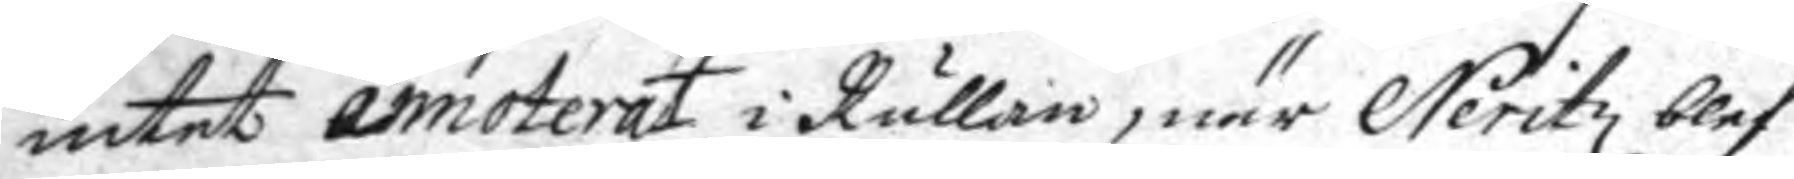intet amorterat i Rullan, när Neritz blef
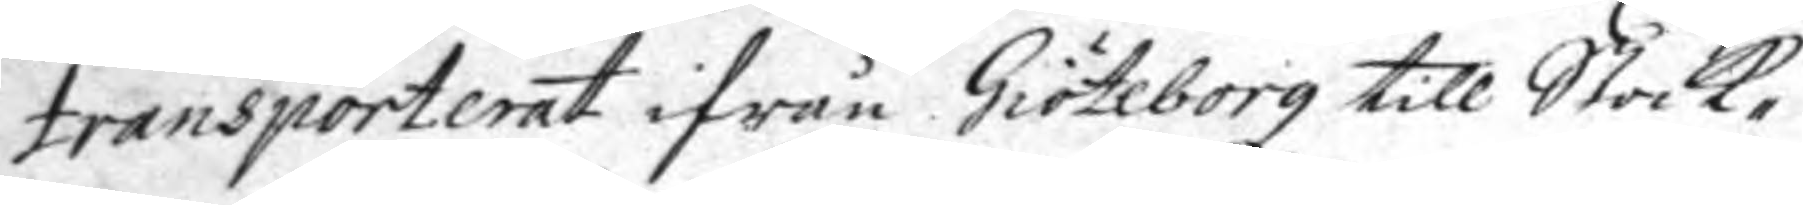transporterat ifrån Giöteborg till Stock¬
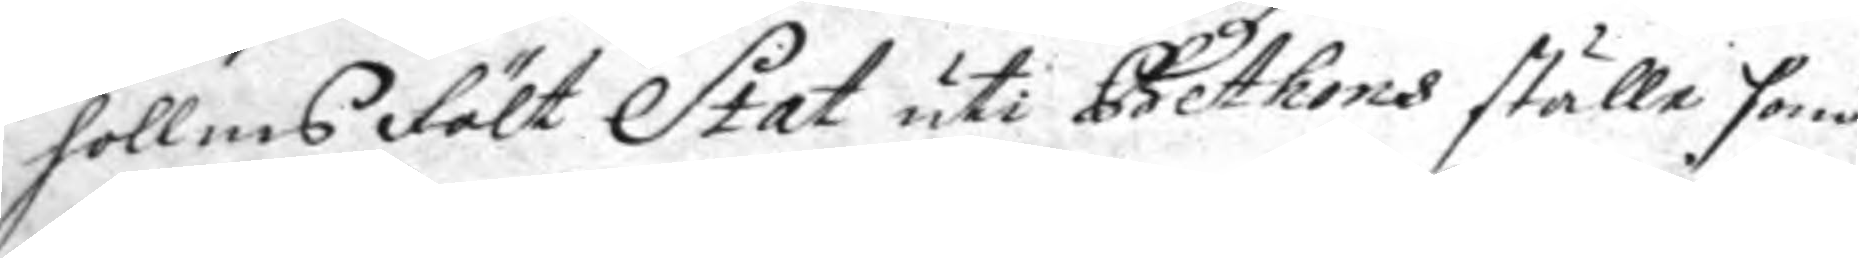hollm Fält Stat uti Bethons ställe som
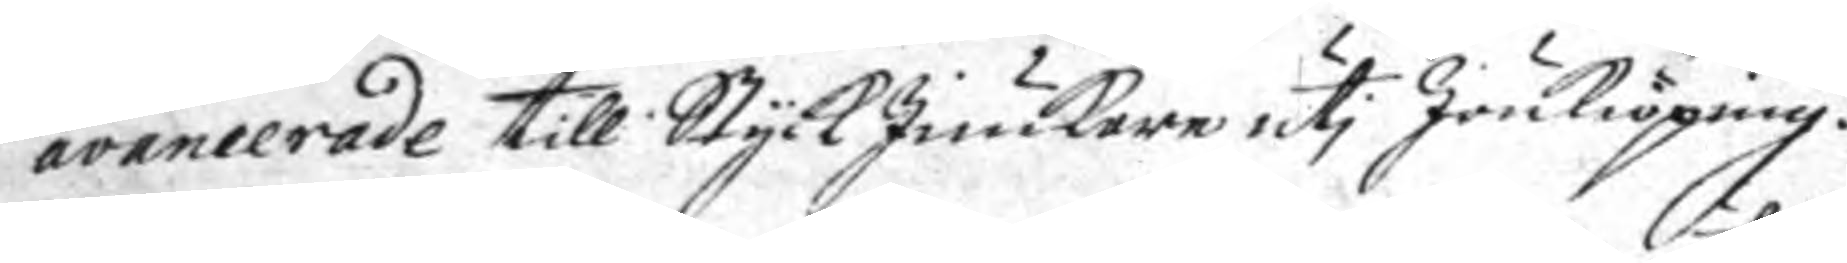avancerade till Styck Junckare uti Jönkiöping.
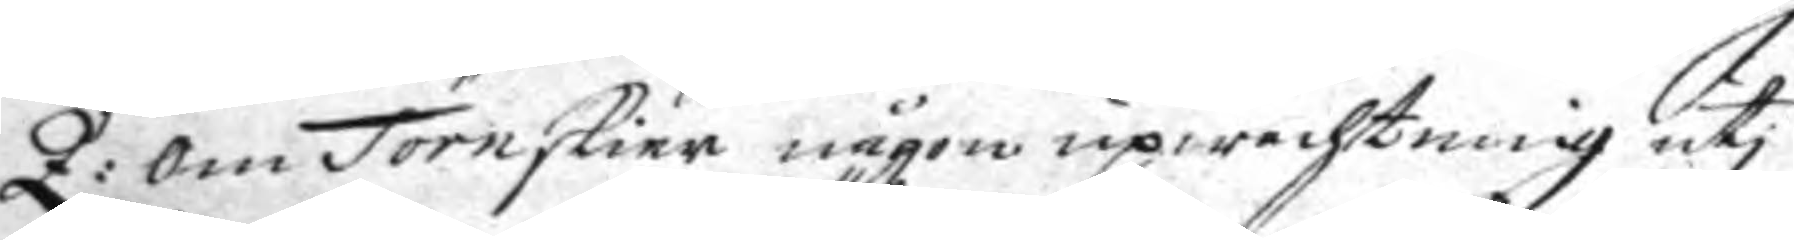Q: om Törnskier någon uppwachtning uti
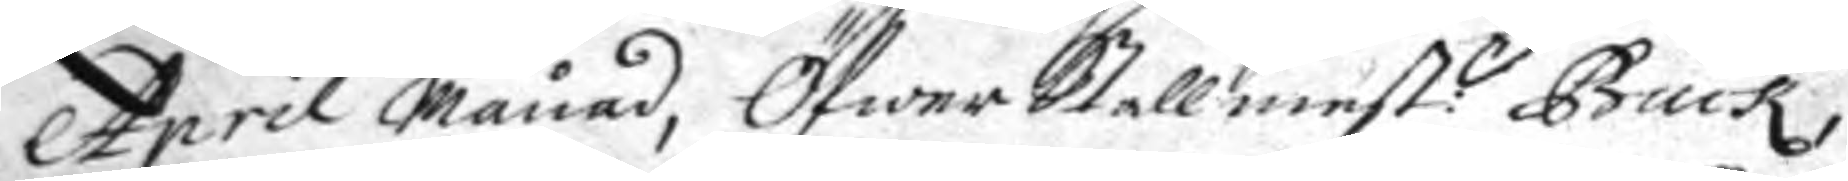April Månad, ÖfwerStallmest:n Buck,
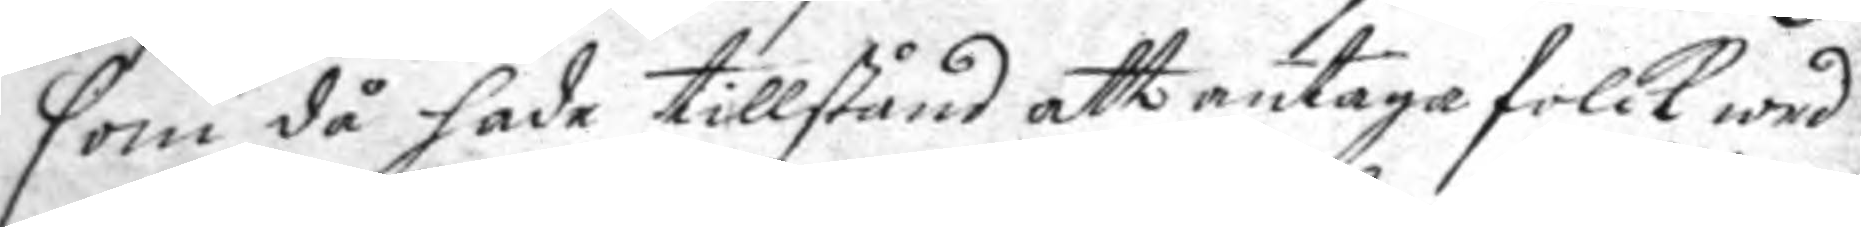som då hade tillstånd att antaga folck wed
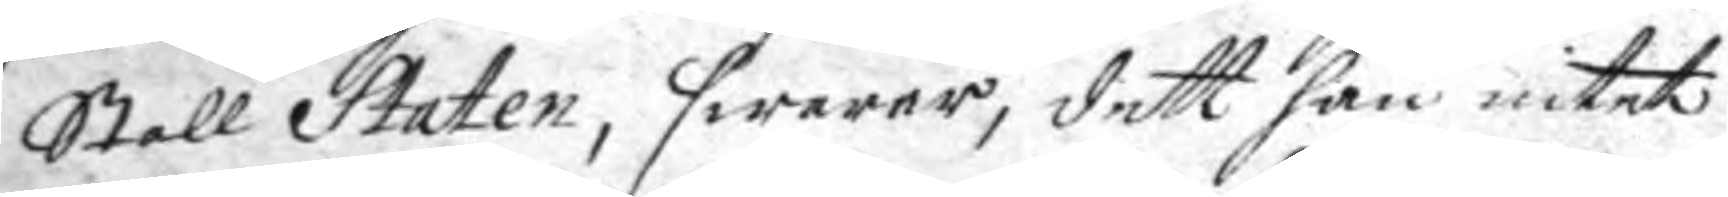Stall Staten, swarar, dett han intet
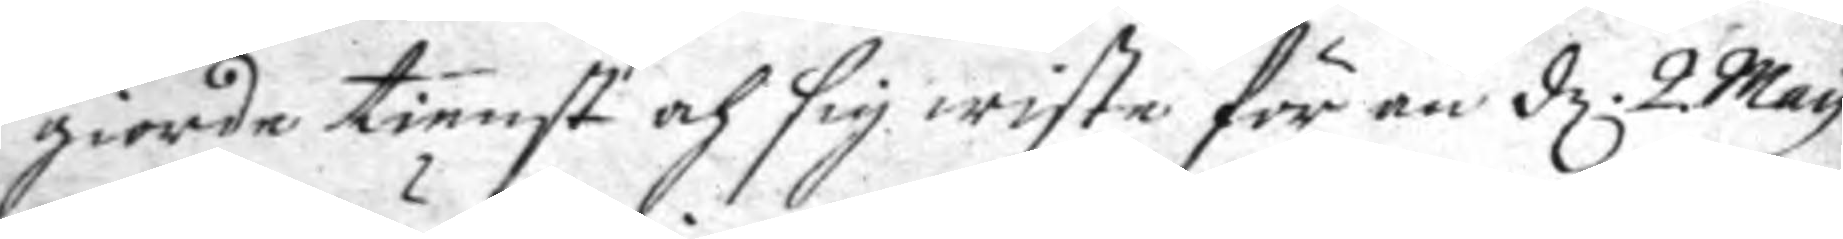giorde tienst och sig wiste för än d. 2. May
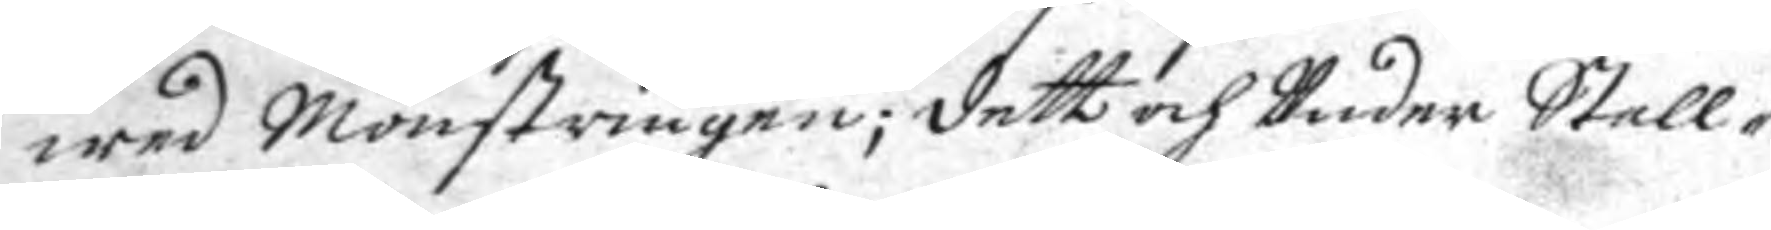wed Mönstrinen; dett och Under Stall¬
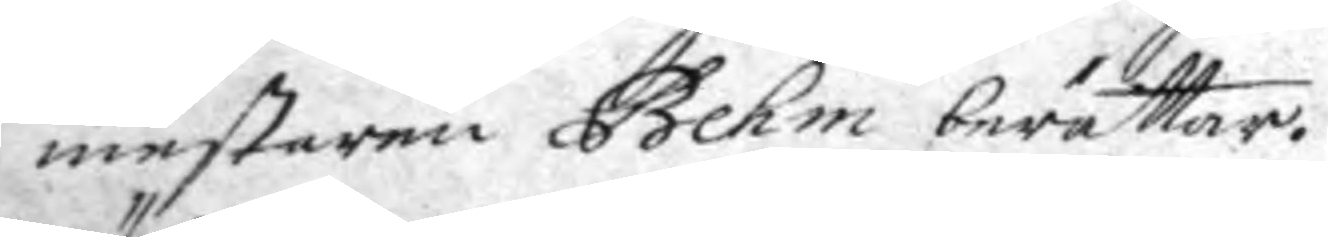mestaren Behm berättar.
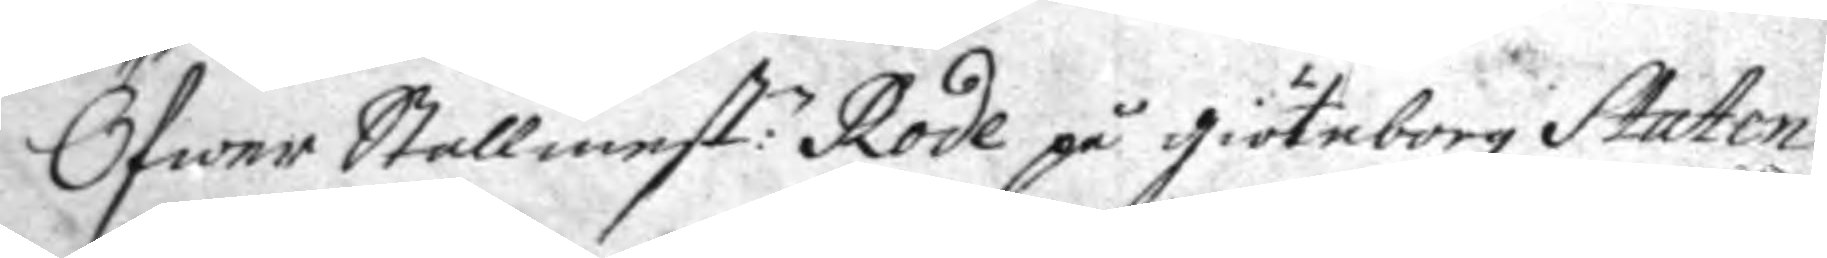Öfwer Stallmest:n Rode på giöteborg Staten
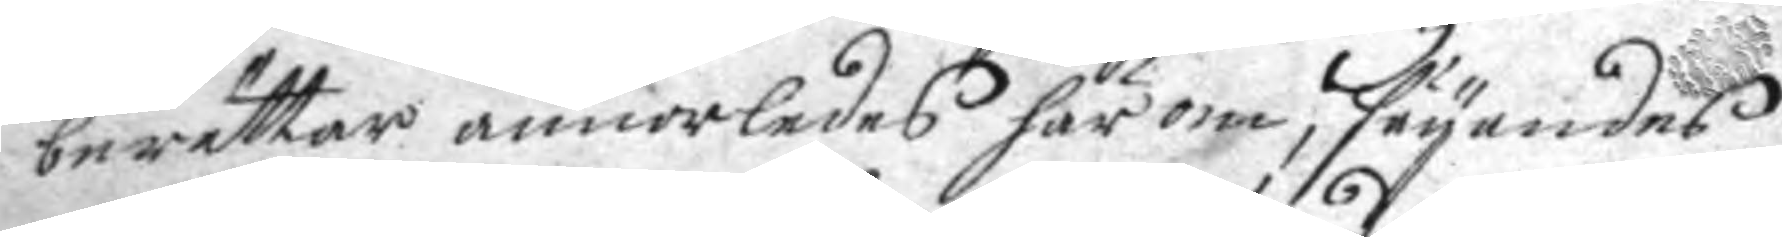berättar annorledes här om, seyandes
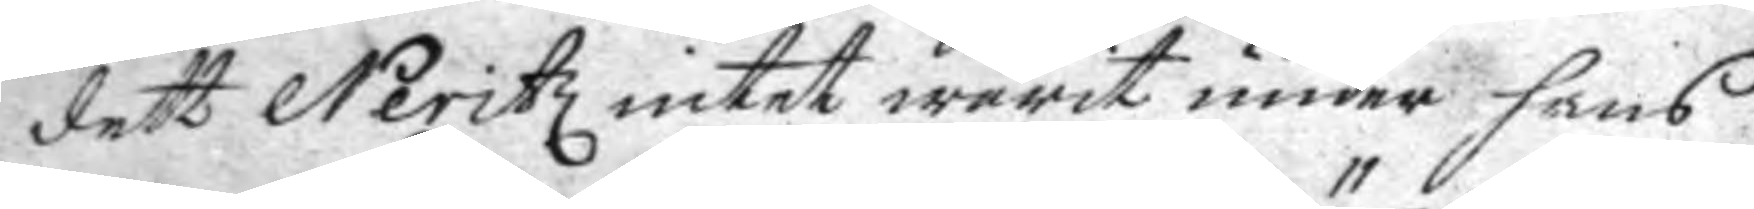dett Neritz intet warit under hans
